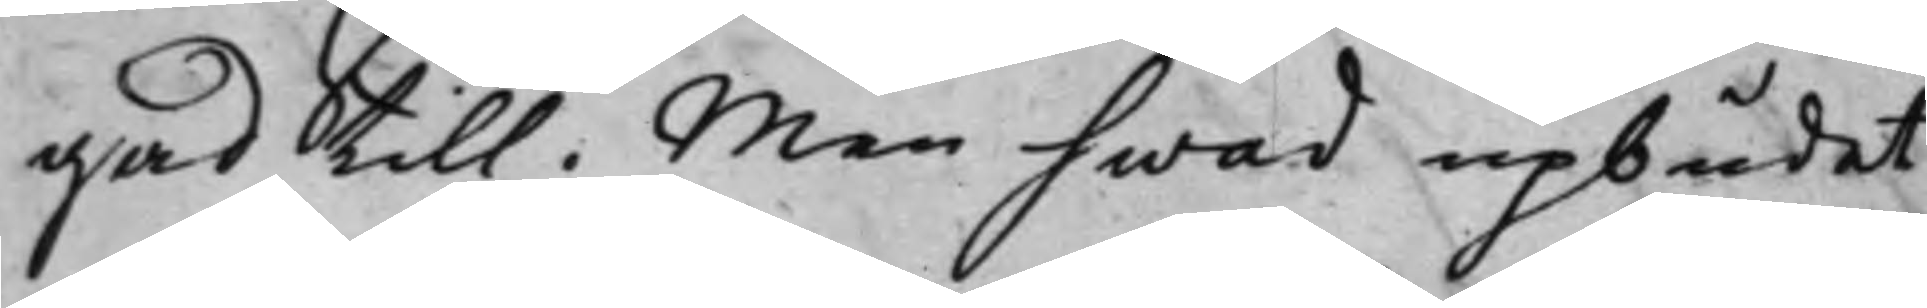gad till. Men hwad upbudet
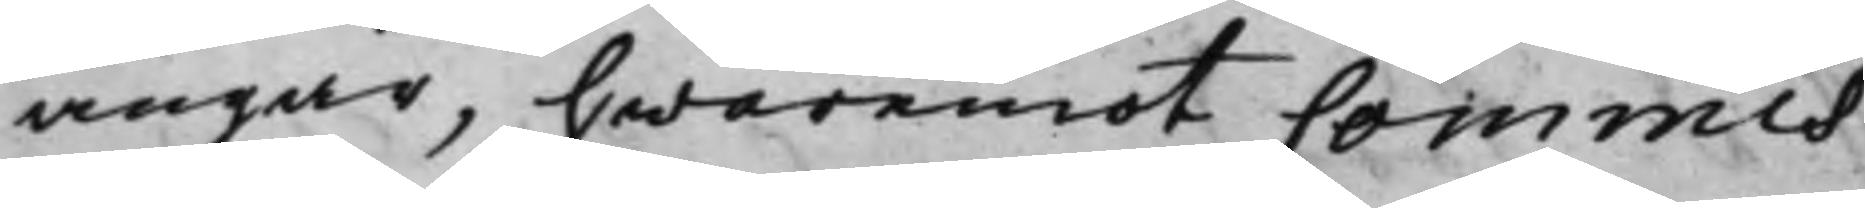angår, hwaremot Commis¬
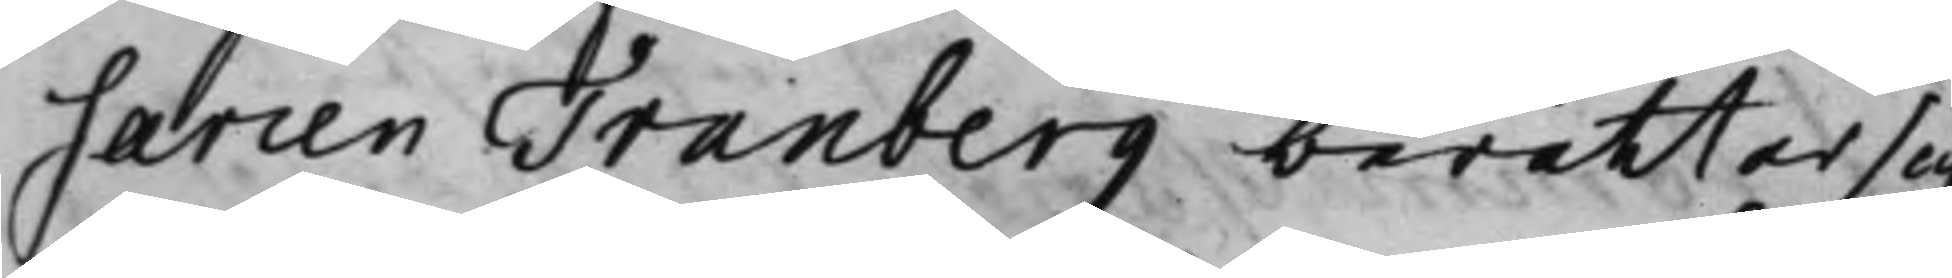Carien Tranberg berättar sig
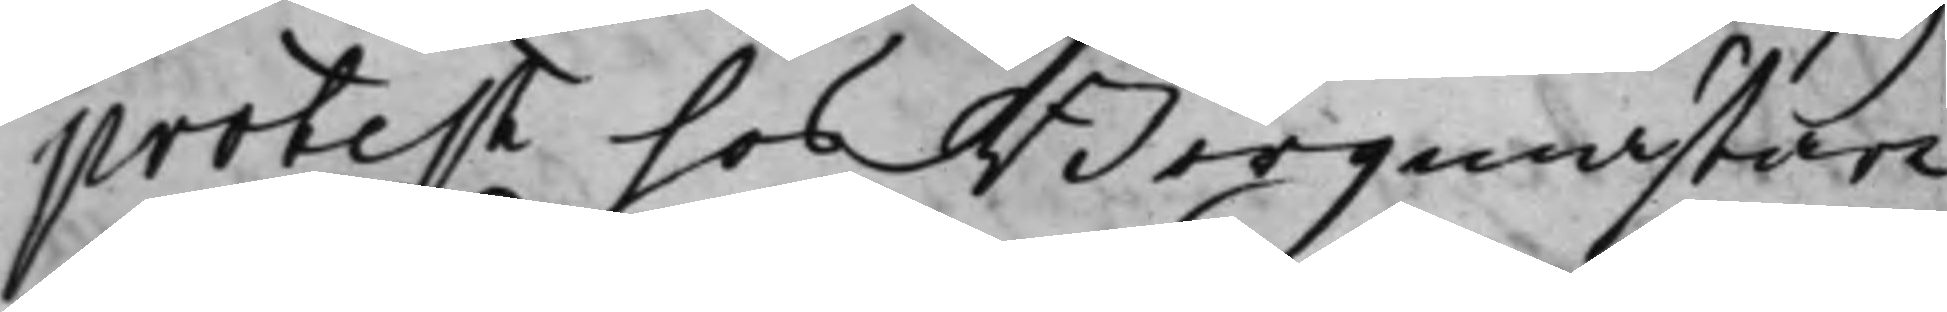protest hos Borgmästare
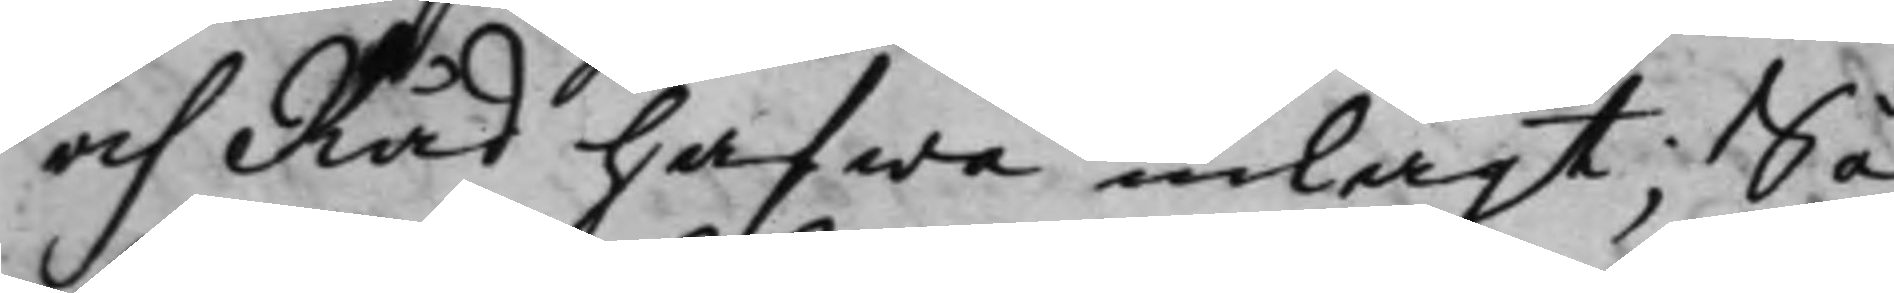och Råd hafwa inlagt, Så
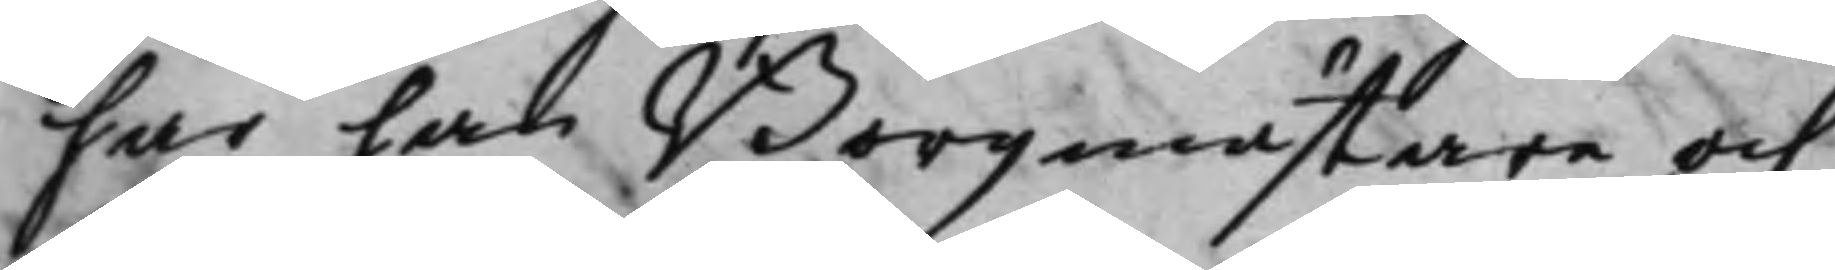har han Borgmästare och
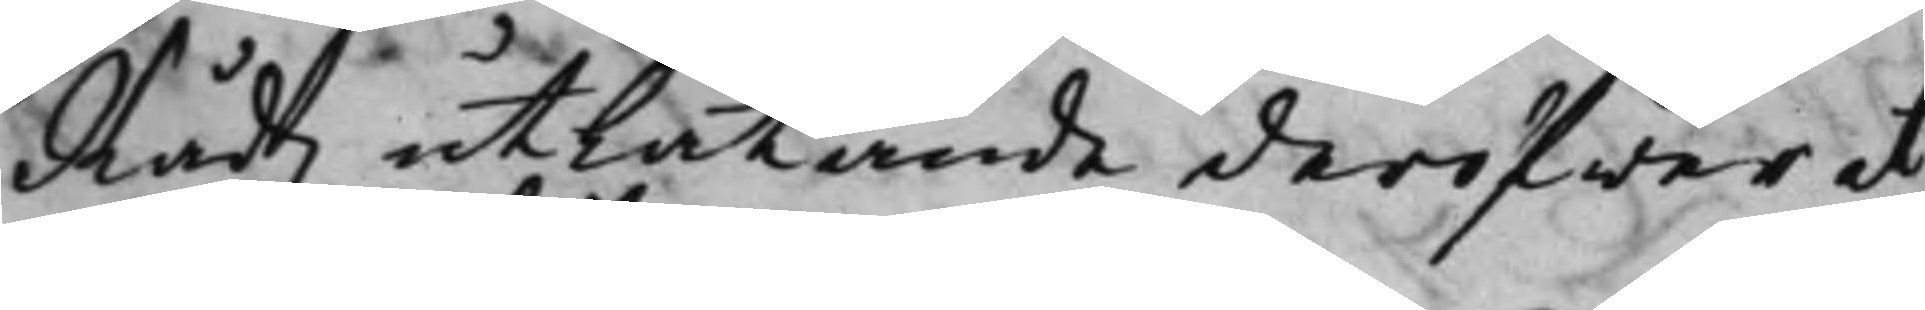Rådz utlåtande deröfwer at
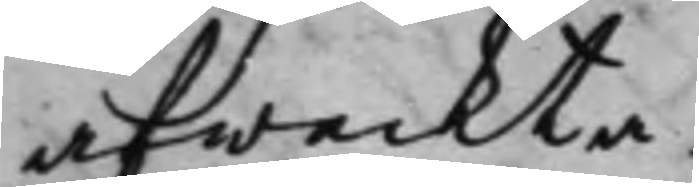afwackta.
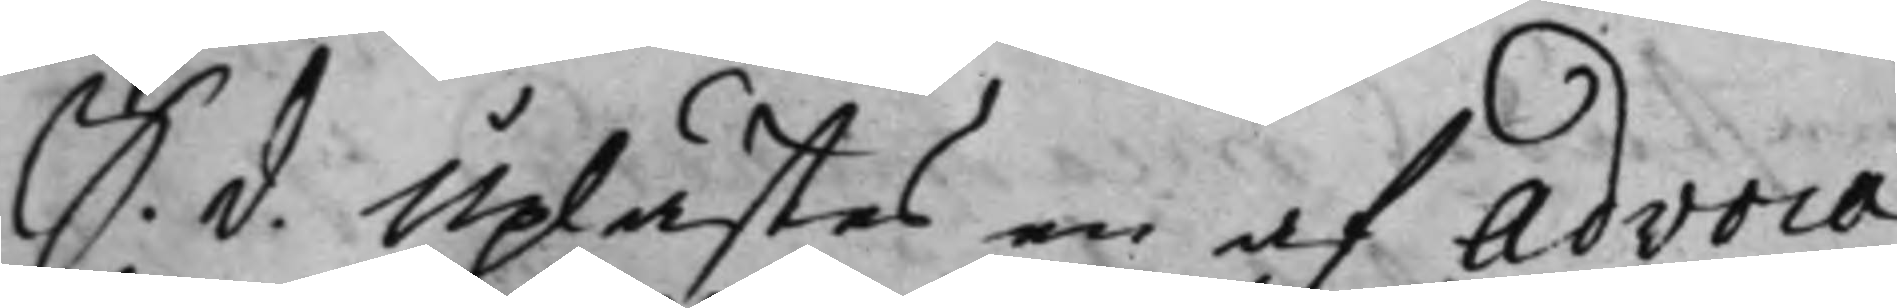S. d. Uplästes en af Advoca¬
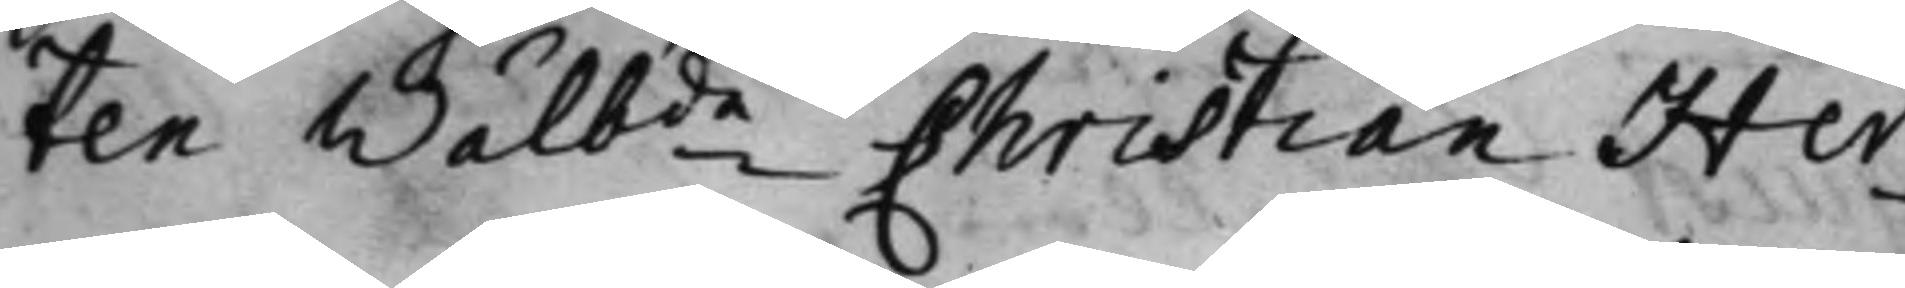ten Wälb:de Christian Her¬
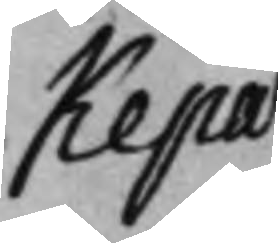kepae
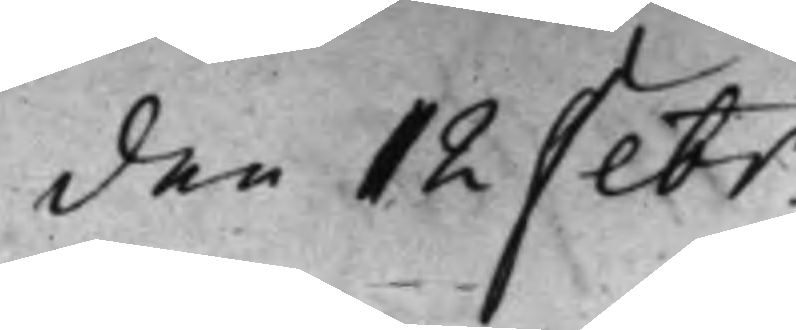den 12 Febr.
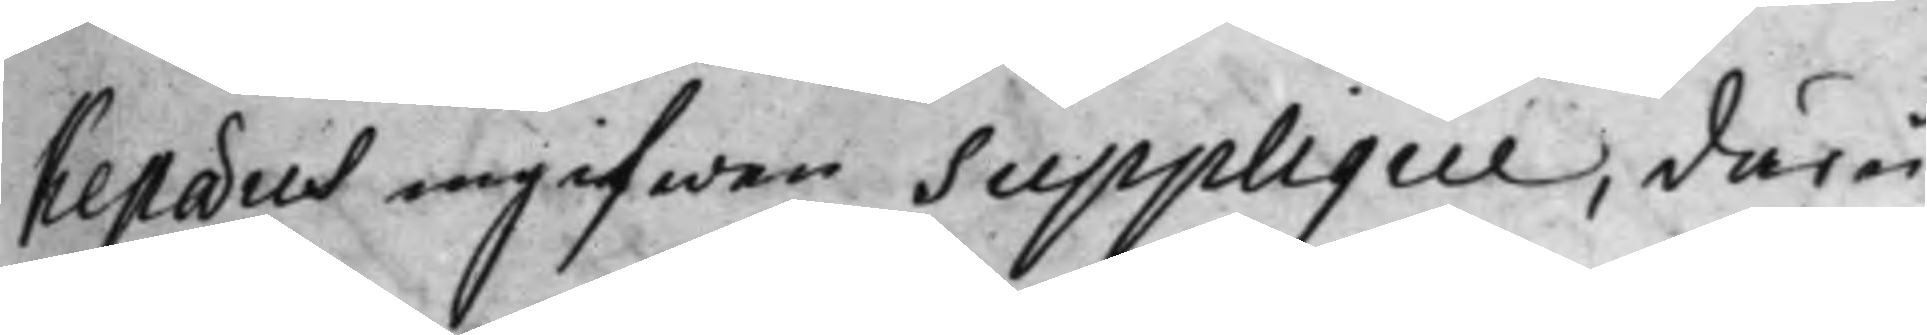kepaeus ingifwen Supplique, däru¬
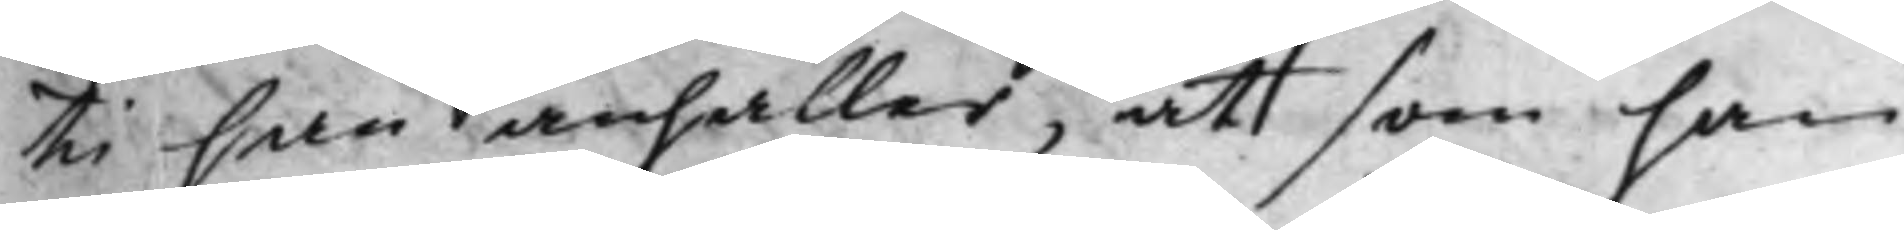ti han anhåller, att som han
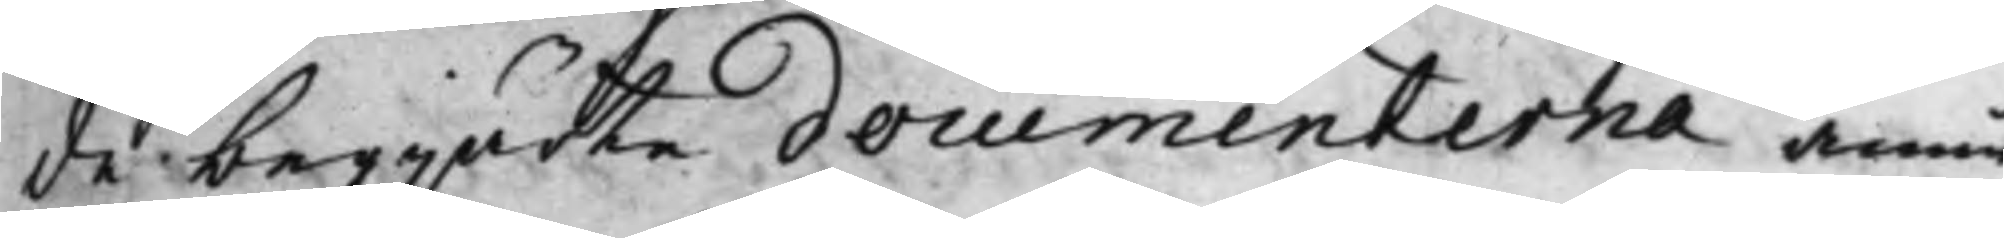de begjärte documenterna ännu
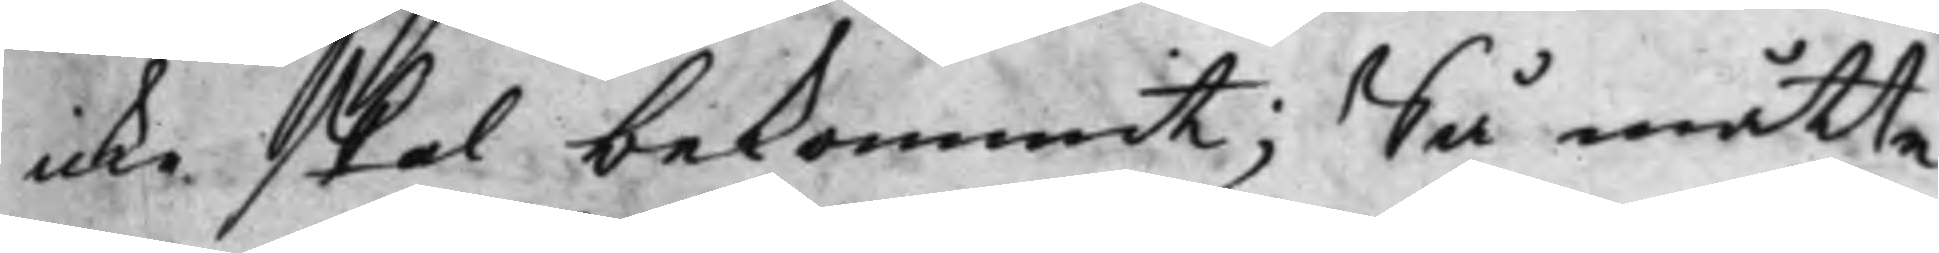icke skal bekommit; Så måtte
